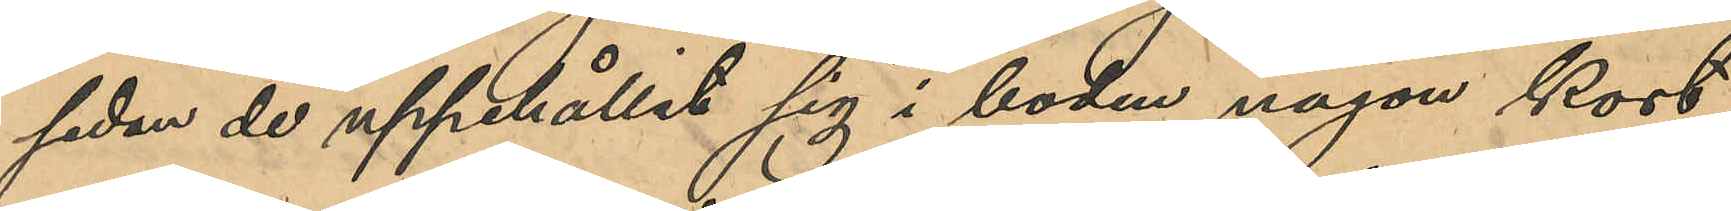sedan de uppehållit sig i boden någon kort
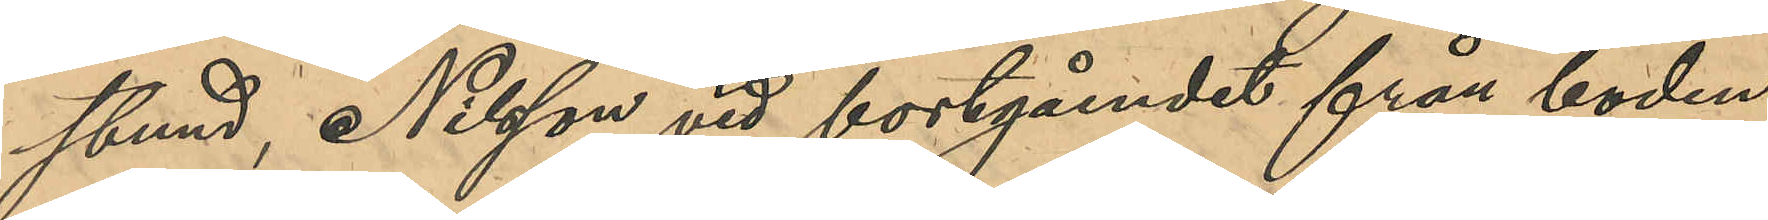stund, Nilsson vid bortgåendet från boden
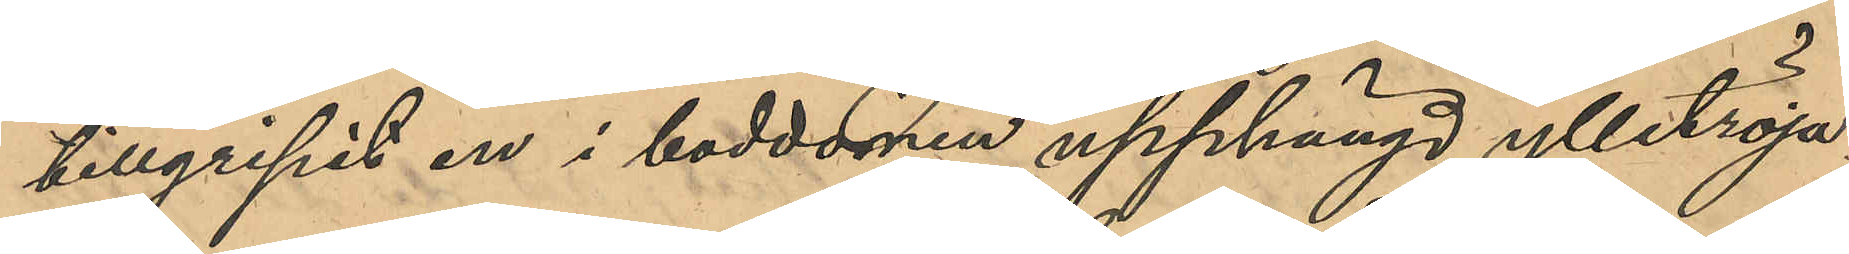tillgripit en i boddörren upphängd ylletröja;
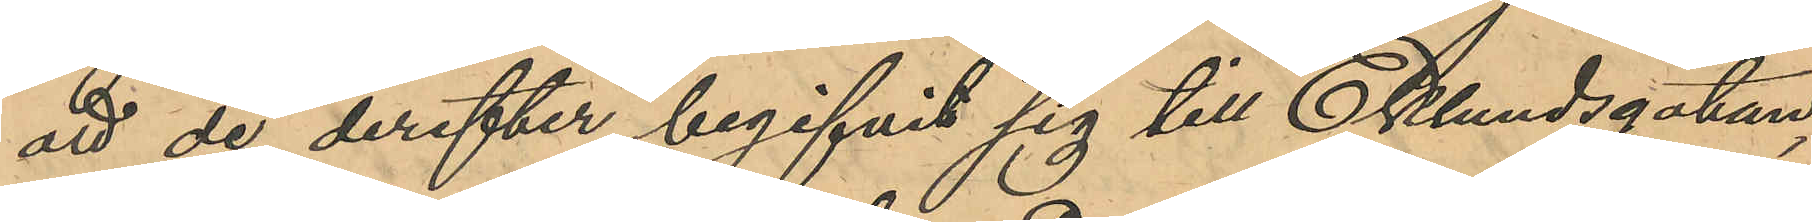att de derefter begifvit sig till Eklundsgatan,
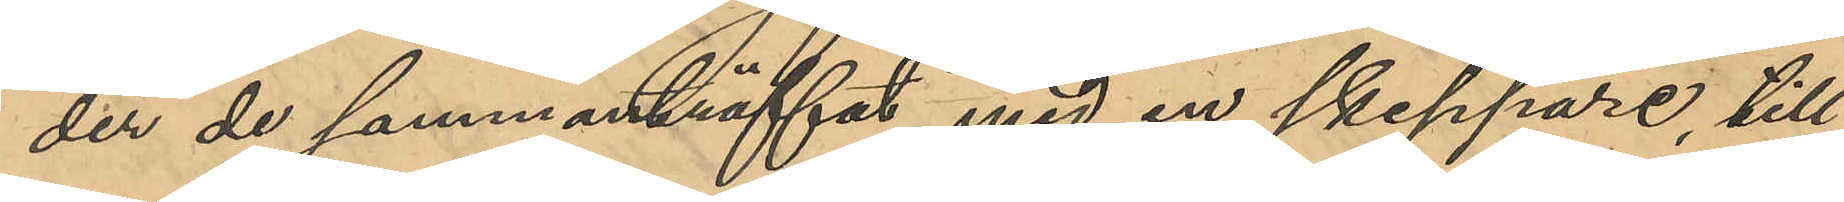der de sammanträffat med en skeppare, till
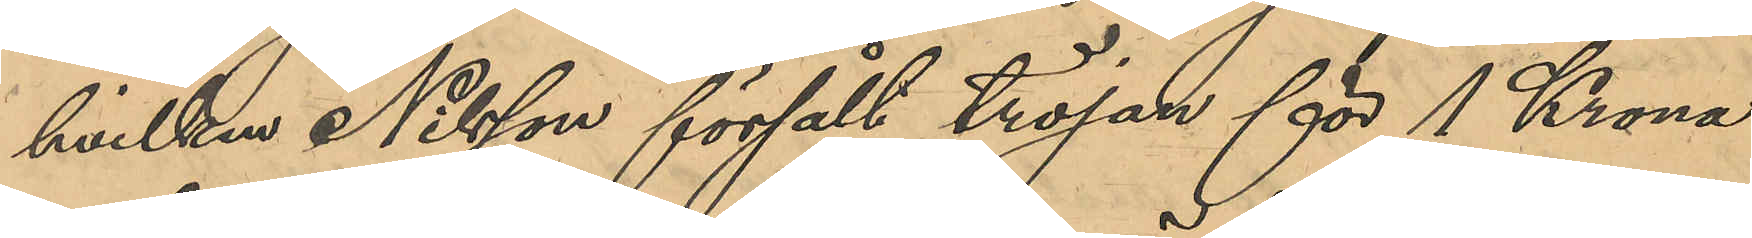hvilken Nilsson försålt tröjan för 1 Krona
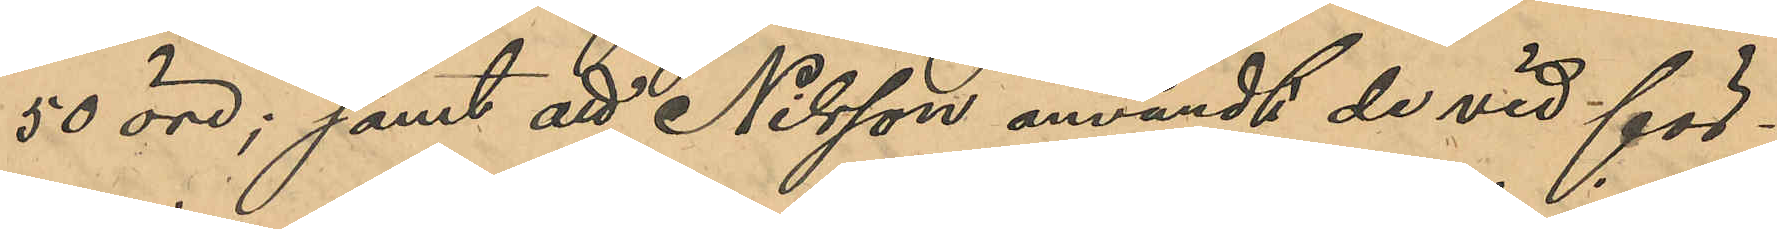50 öre; samt att Nilsson användt de vid för¬
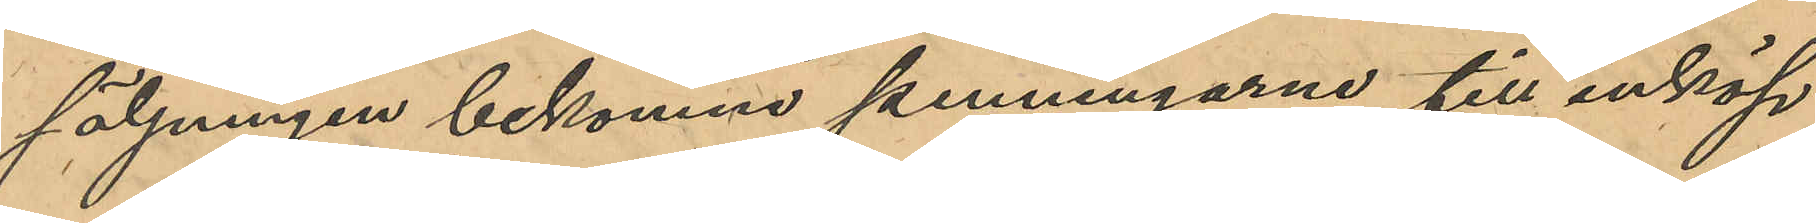säljningen bekomne penningarne till inköp
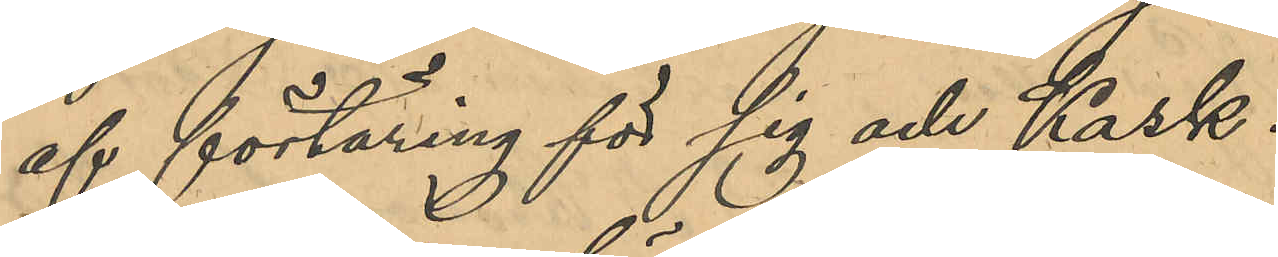af förtäring för sig och Kask.
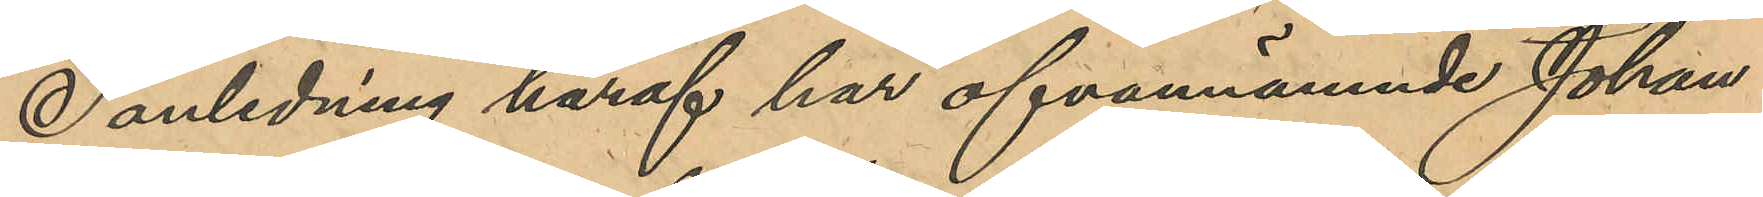I anledning häraf har ofvannämnde Johan
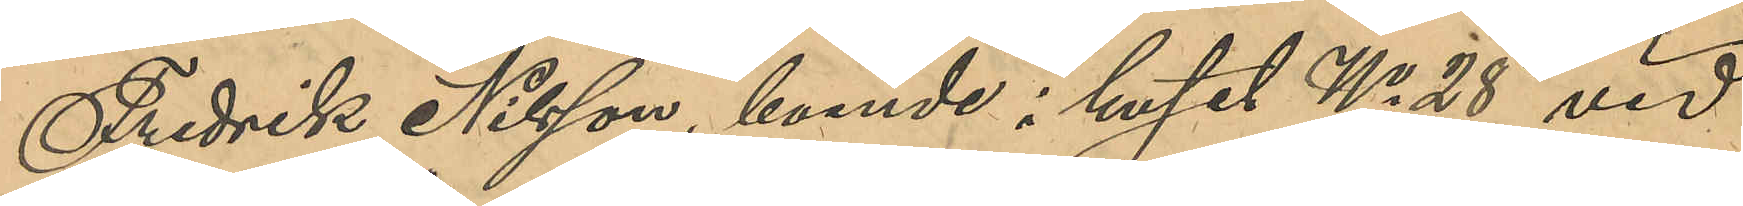Fredrik Nilsson, boende i huset No 28 vid
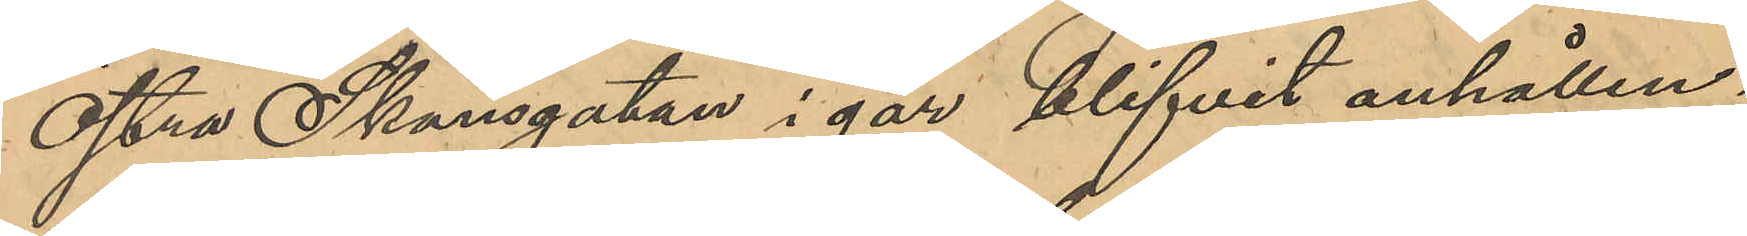Östra Skansgatan i går blifvit anhållen;
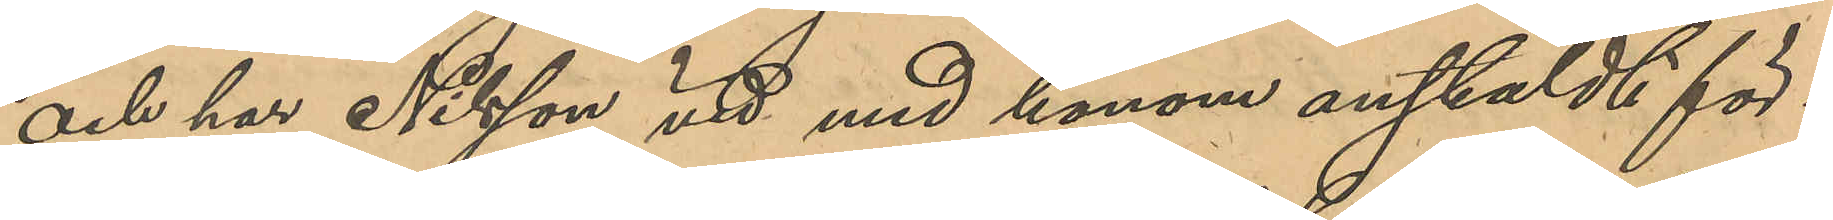och har Nilsson vid med honom anstäldt för¬
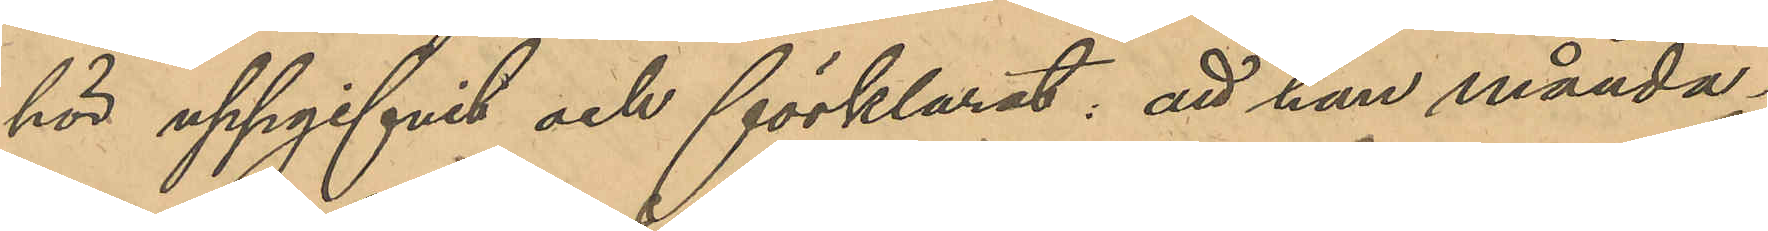hör uppgifvit och förklarat, att han månda¬
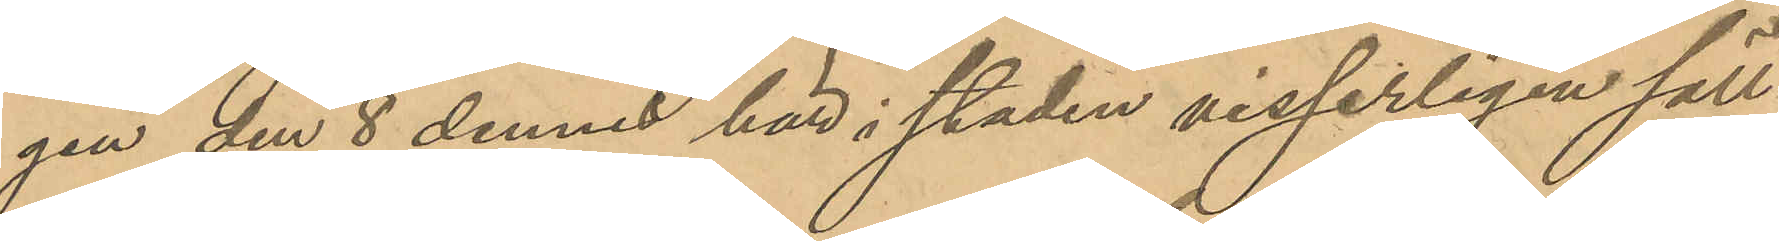gen den 8 dennes här i staden visserligen säll¬
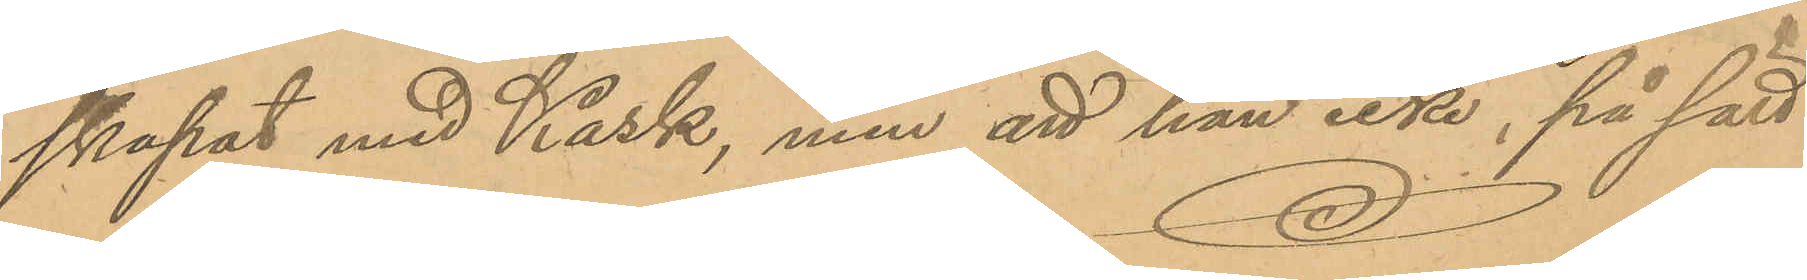skapat med Kask, men att han icke, på sätt
